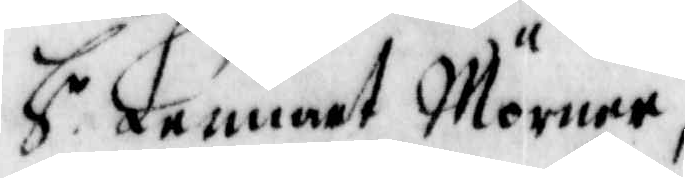H r Lennart Mörner,
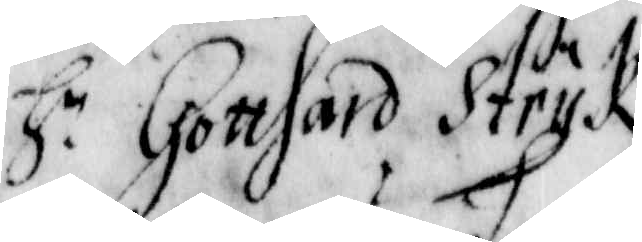H r Gotthard Stryk,
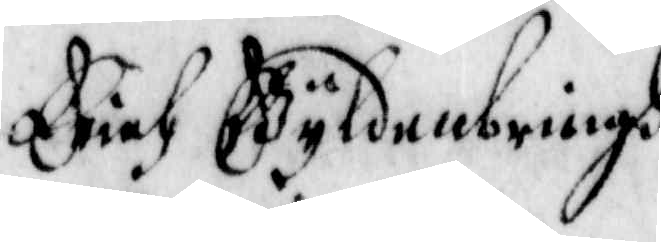Erich Gyldenbringh
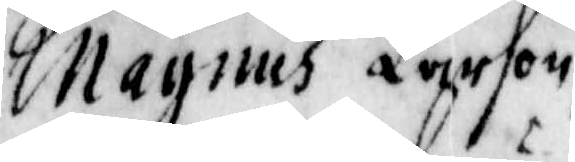Magnus Larsson,
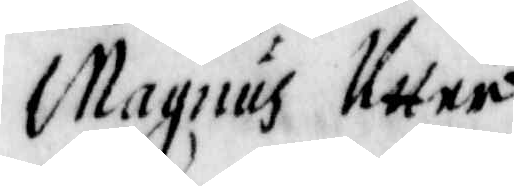Magnus Utter,
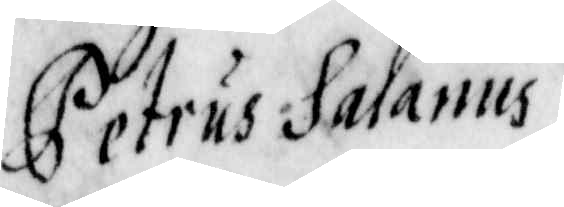Petrus Salanus,
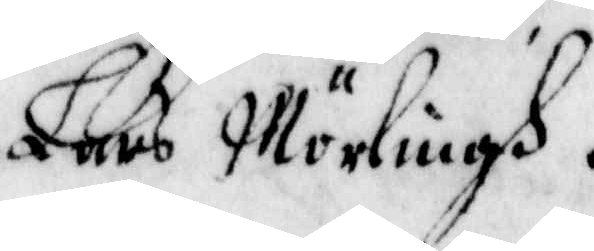Lars Mörlingh.
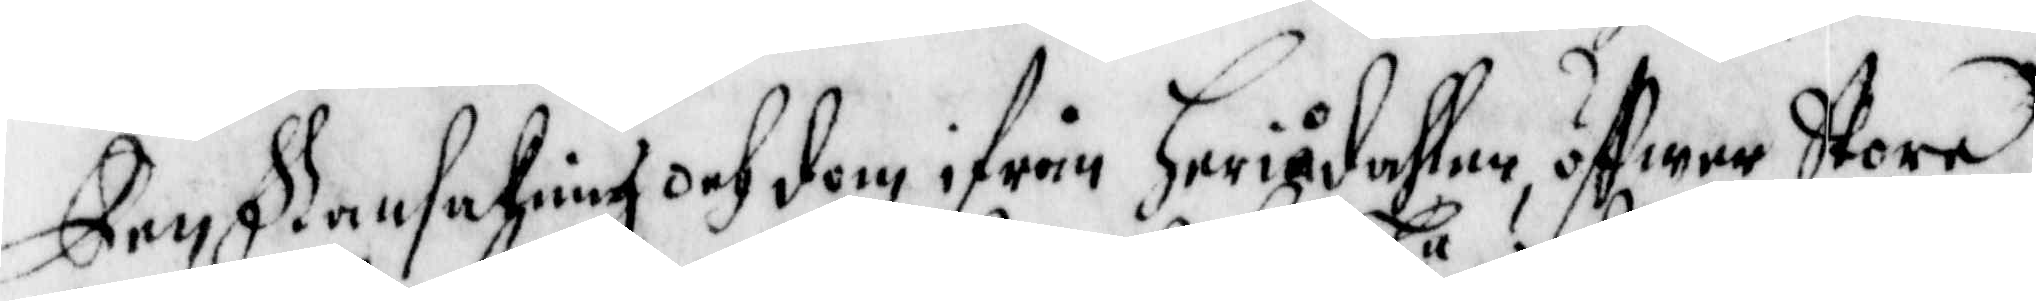Den Ransakning och dom ifrån Heriådahlen, öffwer Stora
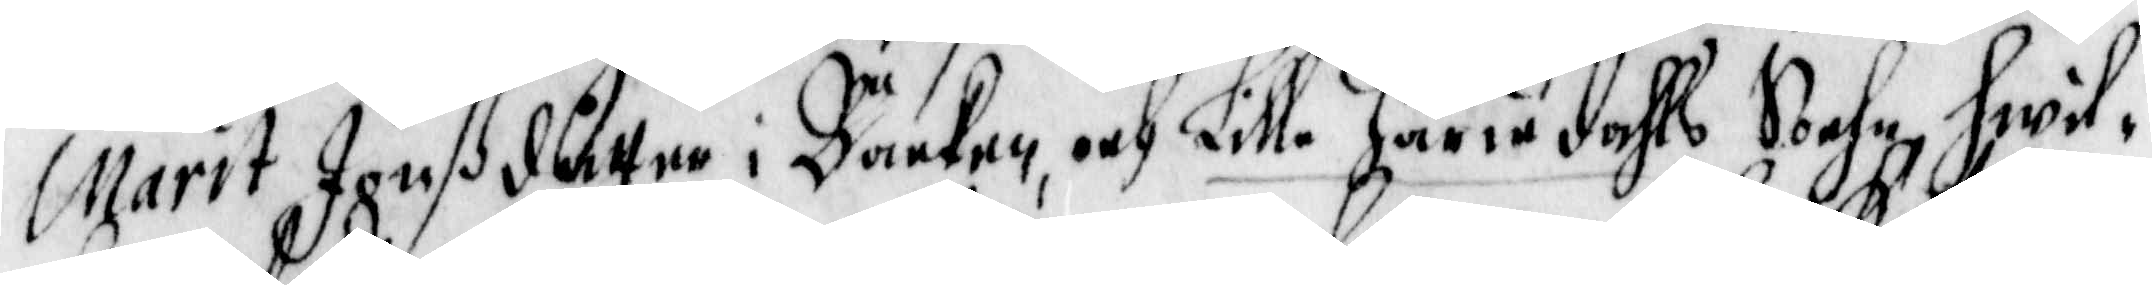Marit Jonßdåtter i Bäcken, och Lilla Häriedahls Sochn, Hwil¬
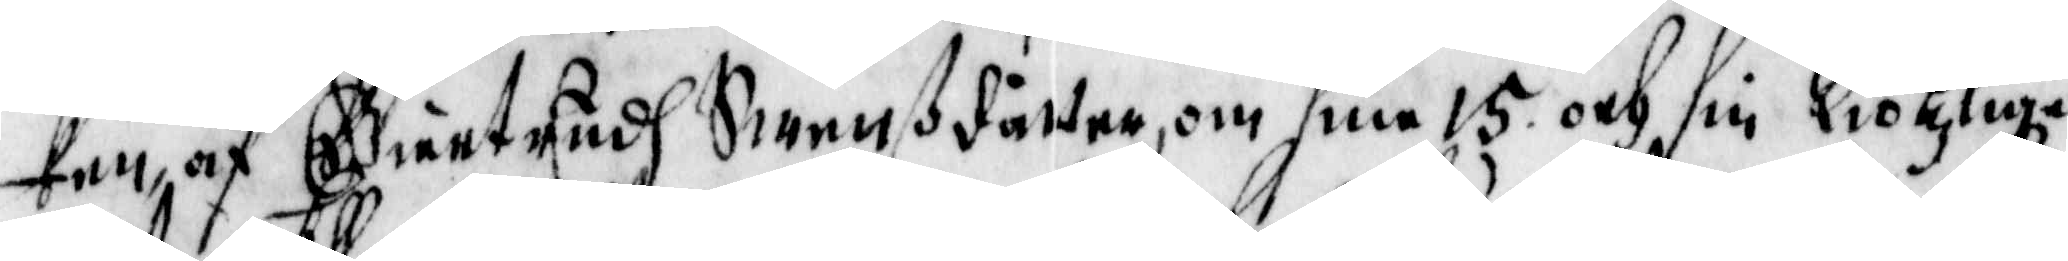ken, af Giertrudh Swenßdåtter, om sine 15 och sin Kiötzlige
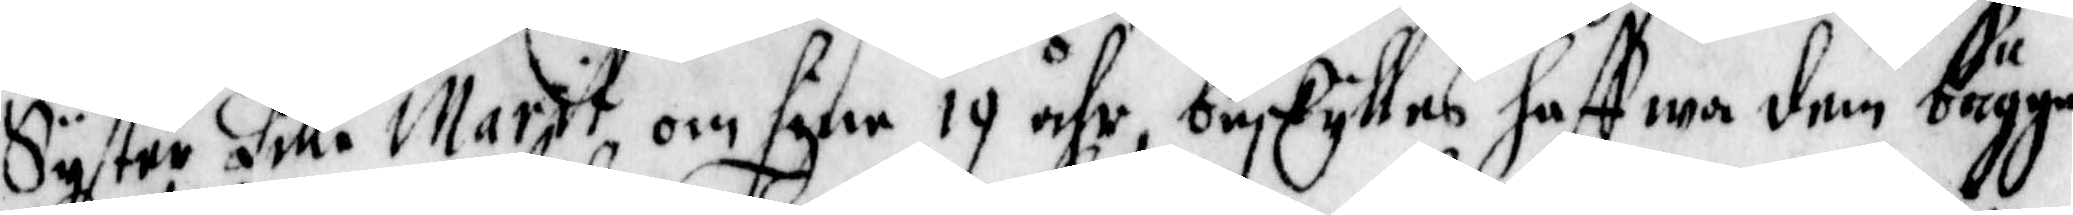Syster Lilla Marit om sine 14 åhr, beskylles haffwa dem bägge
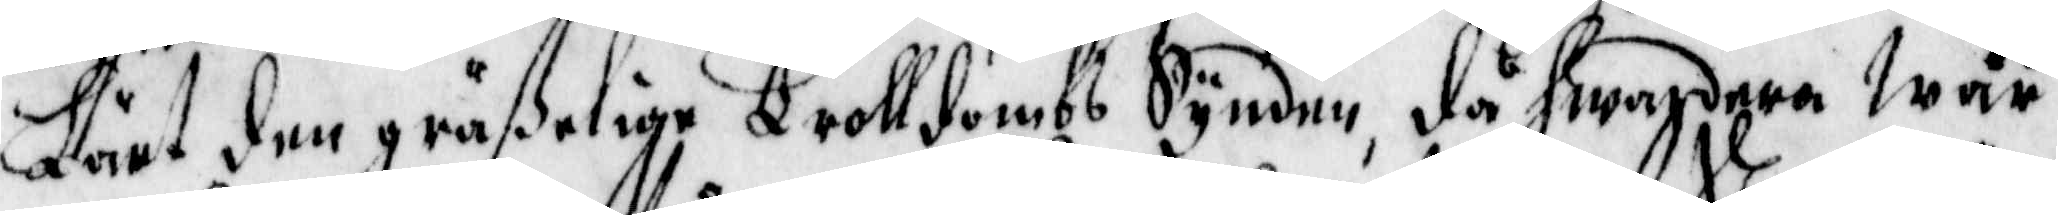Lärt den gräsßlige Trolldombs Synden, då hwardera war
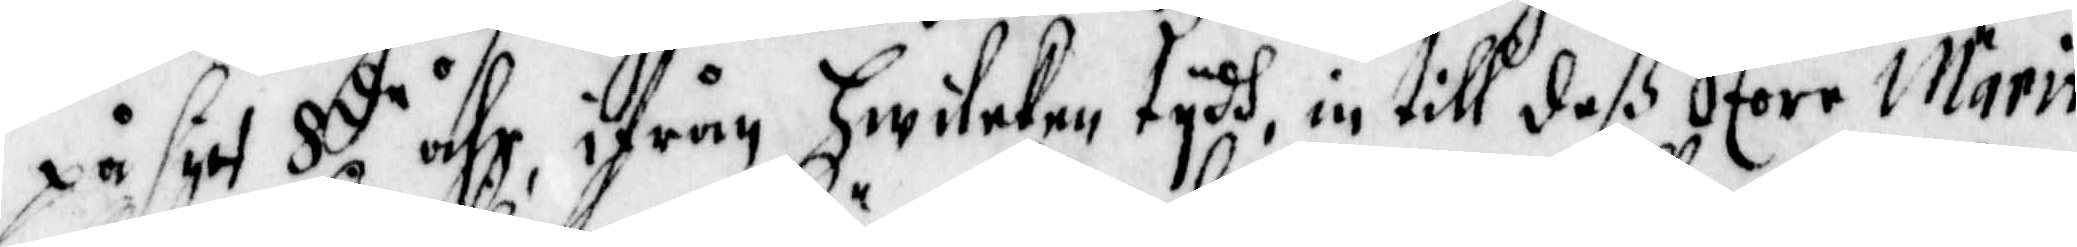på sitt 8 de åhr, ifrån Hwileken tydh, in till deß Store Märit
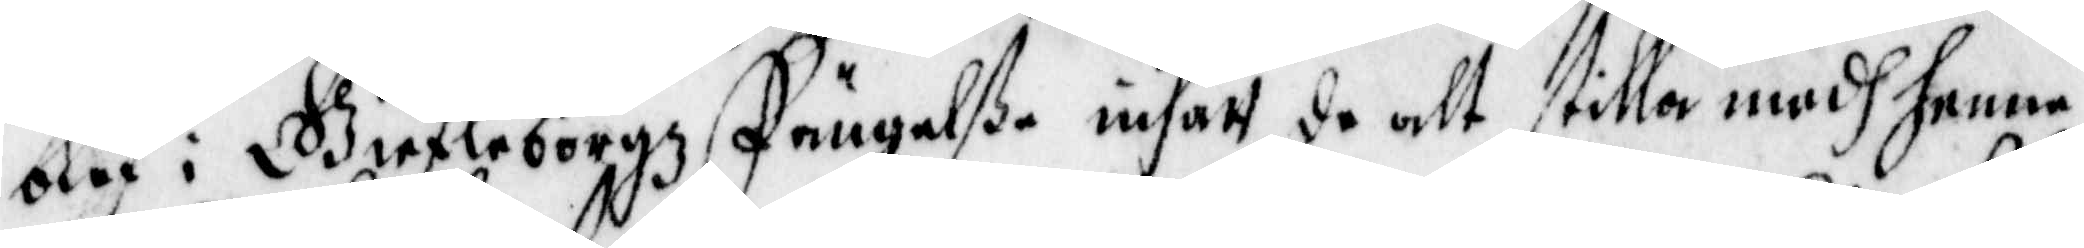blef i Giefleborgz Fängelße insatt, de alt stilla medh henne
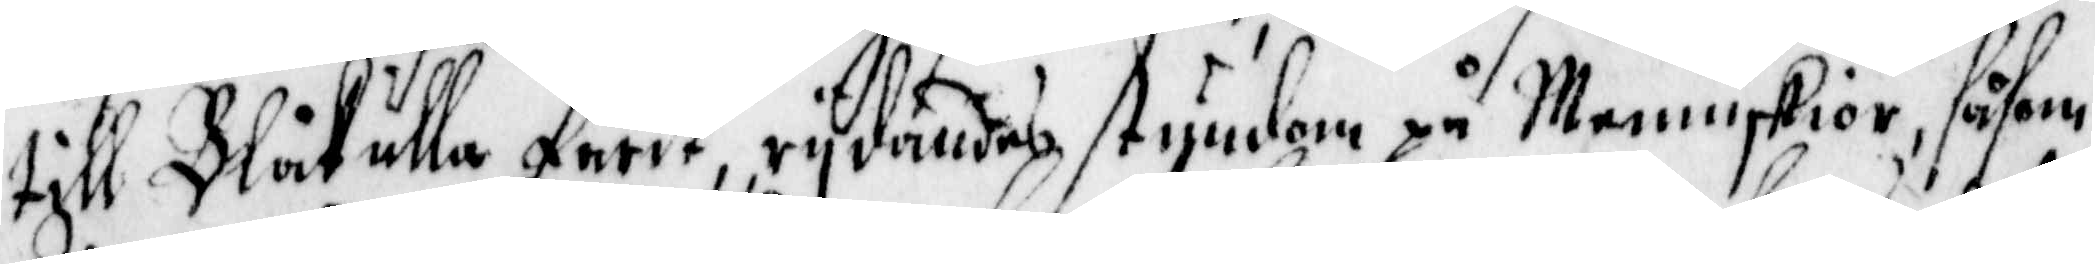till Blåkulla farit, rydandes stundom på Menniskor, såsom
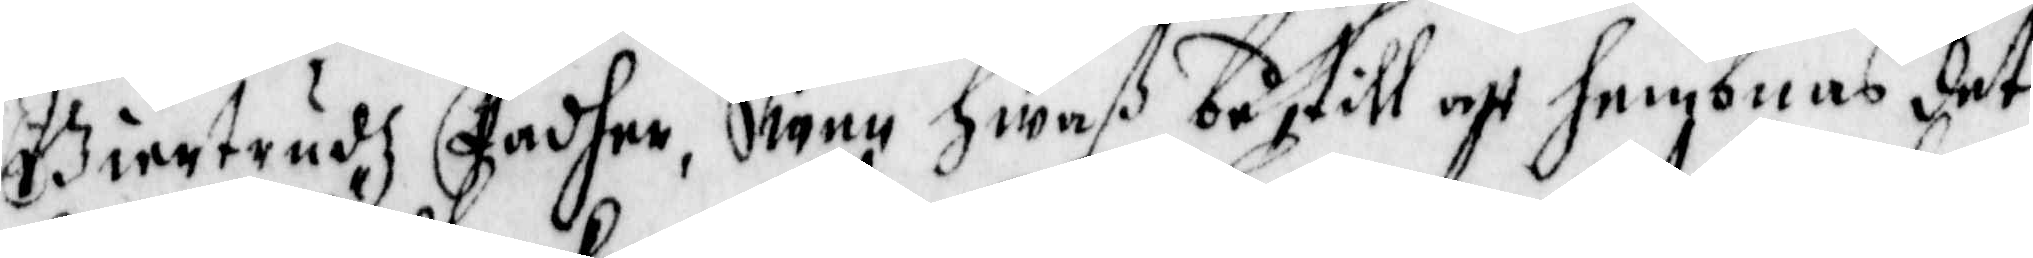Giertrudz fader, Swen Hwaß båstill att hembnas det
